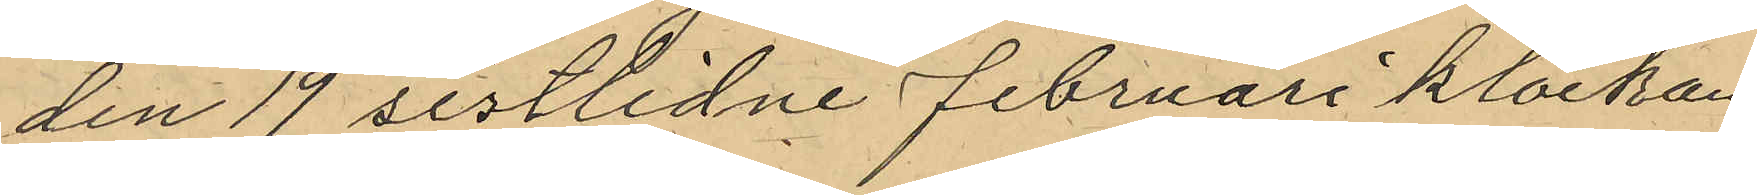den 19 sistlidne februari klockan
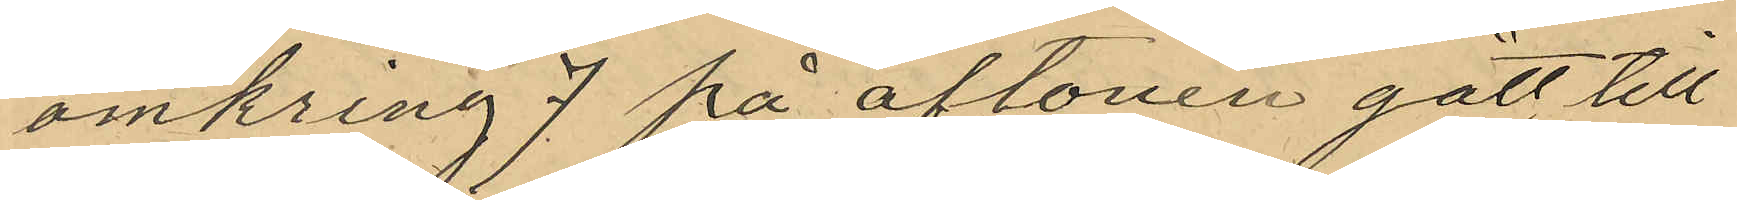omkring 7 på aftonen gått till
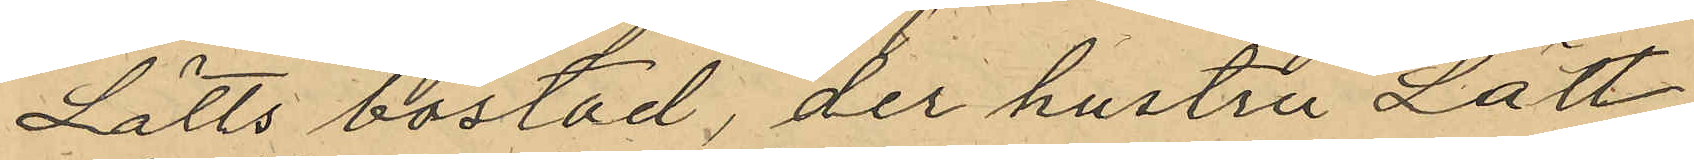Lätts bostad, der hustru Lätt
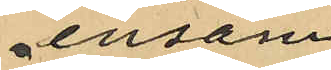ensam
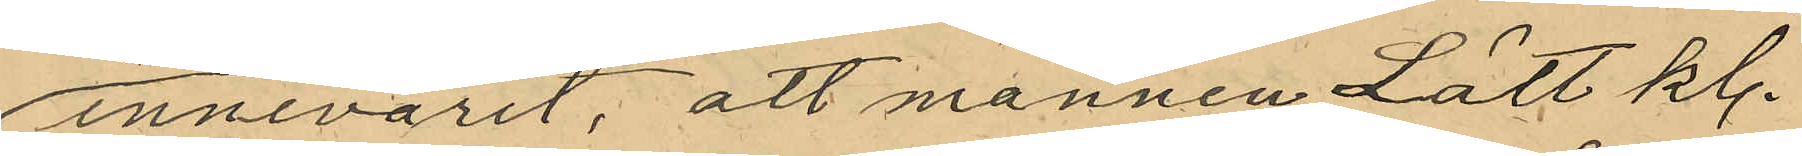innevarit, att mannen Lätt kl.
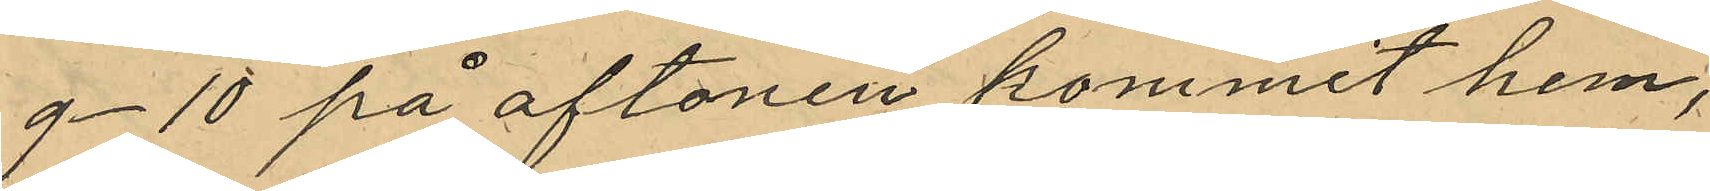9-10 på aftonen kommit hem,
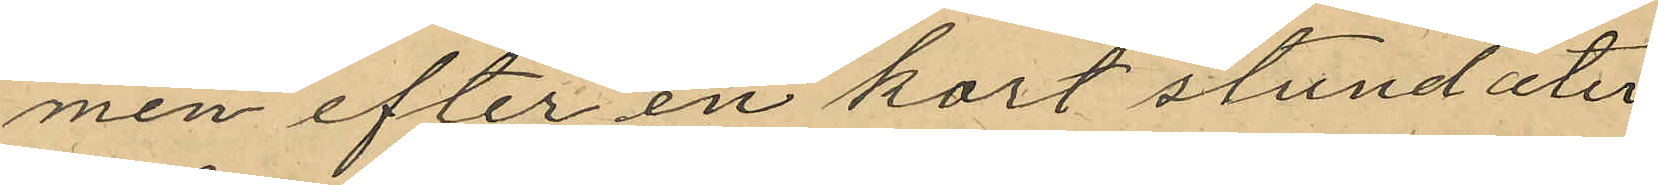men efter en kort stund åter
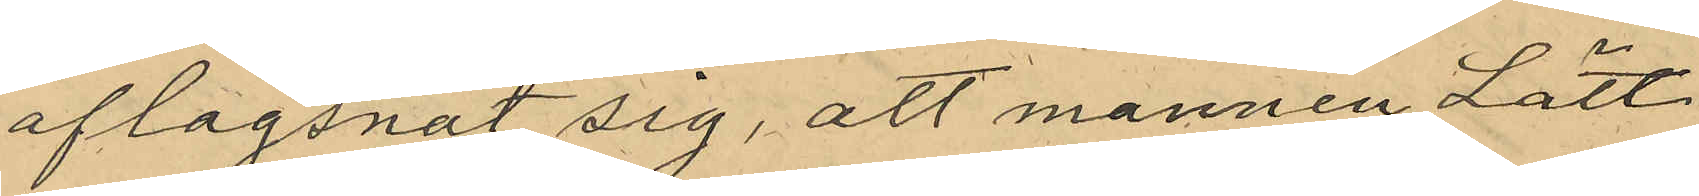aflagsnat sig, att mannen Lätt
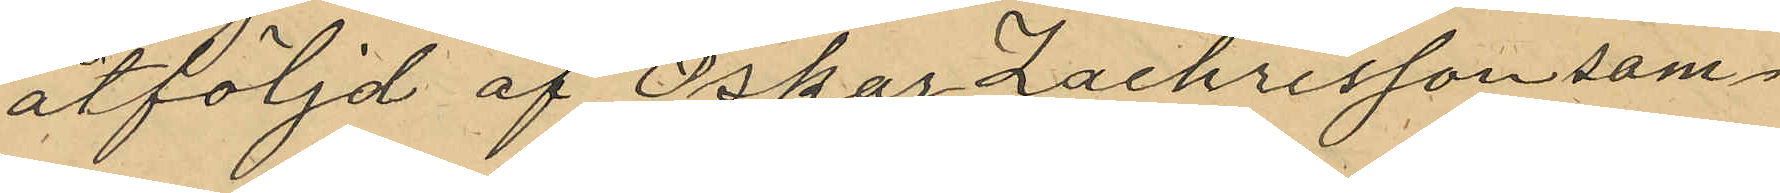åtföljd af Oskar Zachrisson sam¬
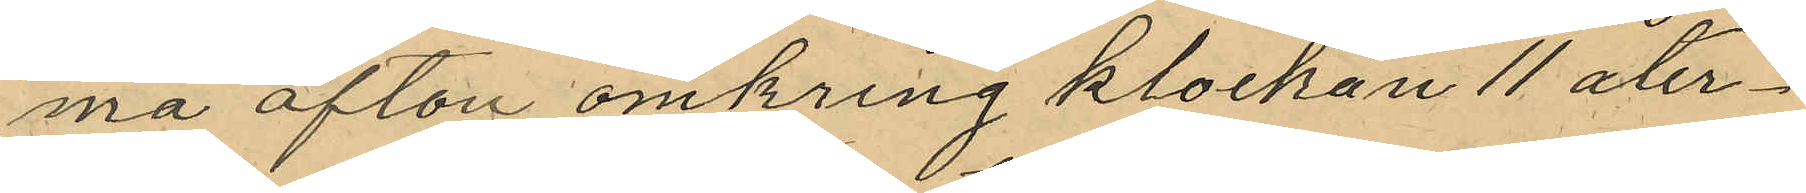ma afton omkring klockan 11 åter¬
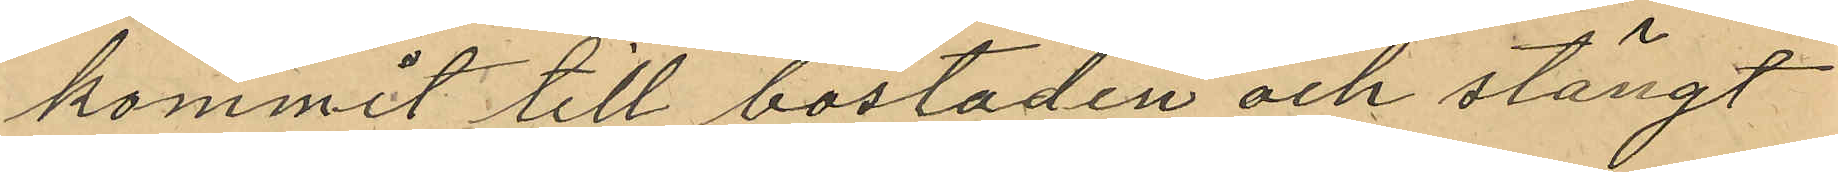kommit till bostaden och stängt
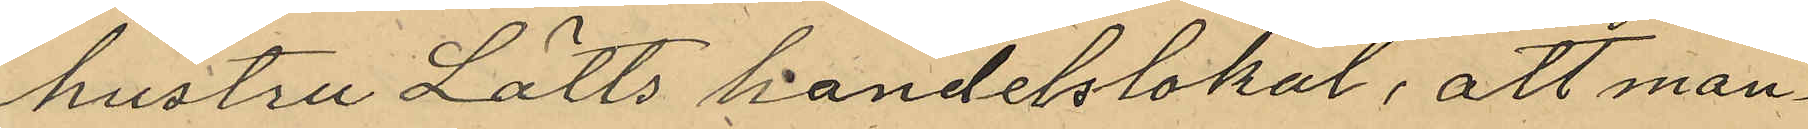hustru Lätts handelslokal, att man¬
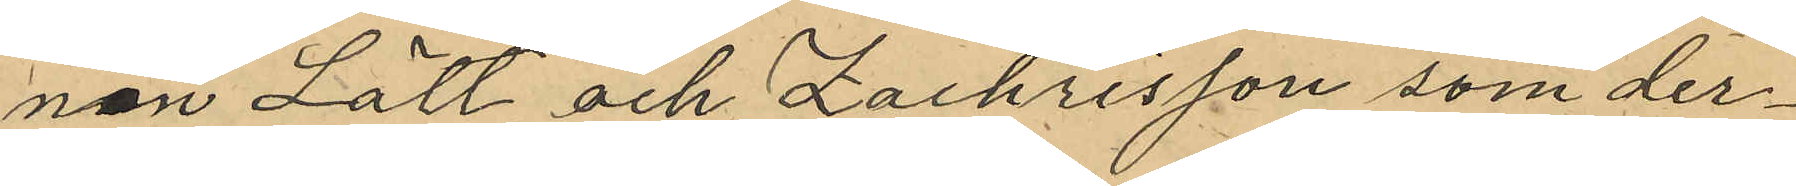nen Lätt och Zachrisson som der¬
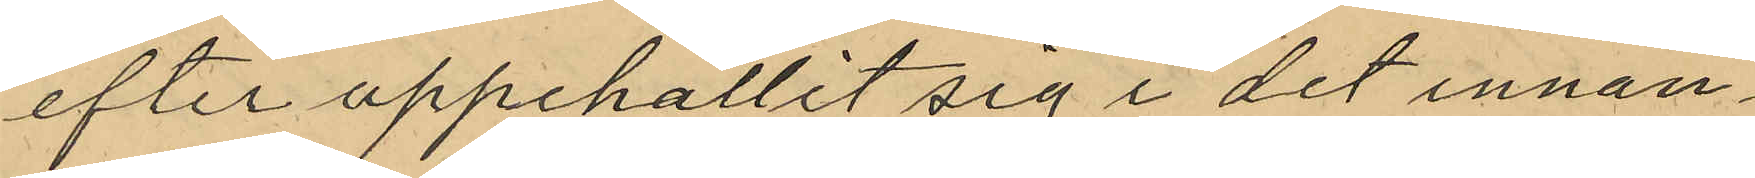efter uppehållit sig i det innan¬
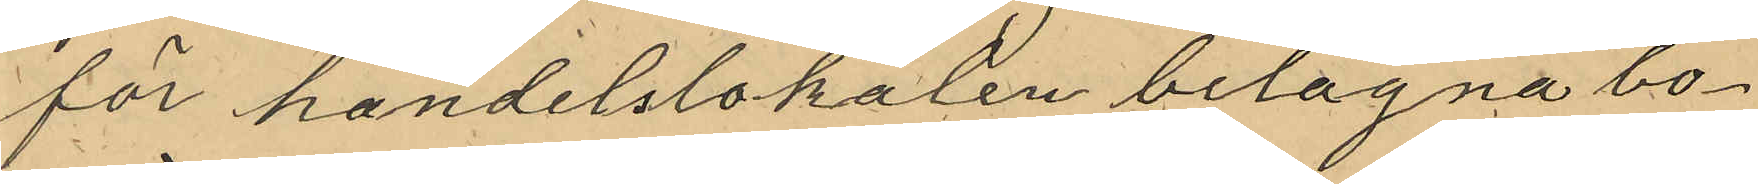för handelslokalen belägna bo¬
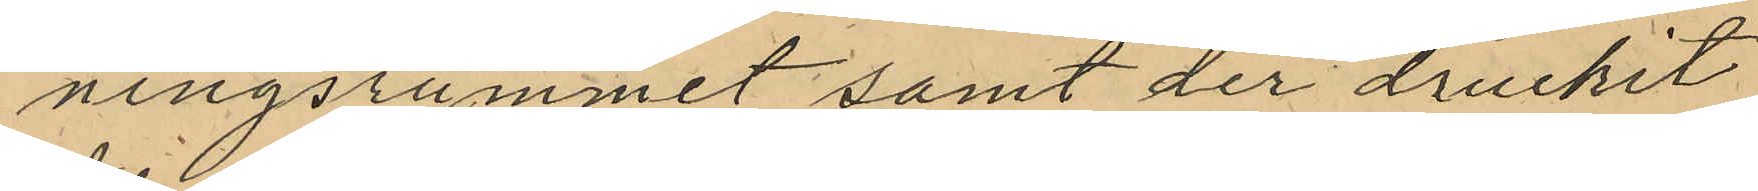ningsrummet samt der druckit
